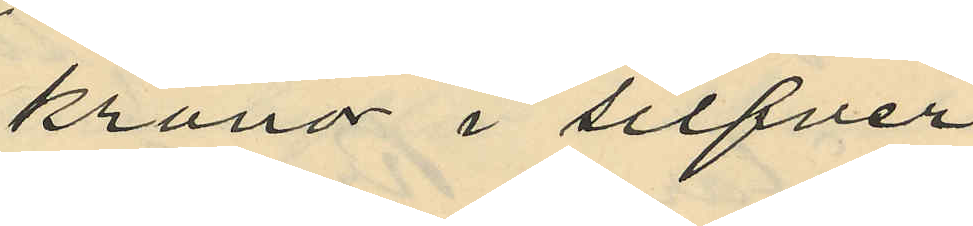kronor i silfver
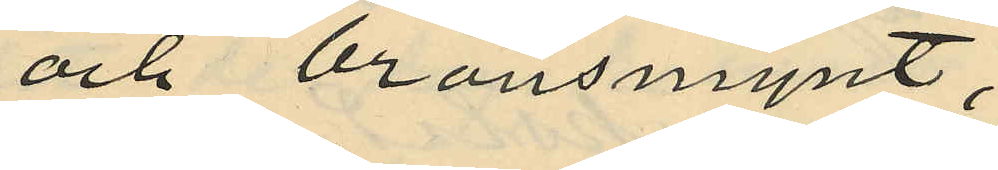och bronsmynt,
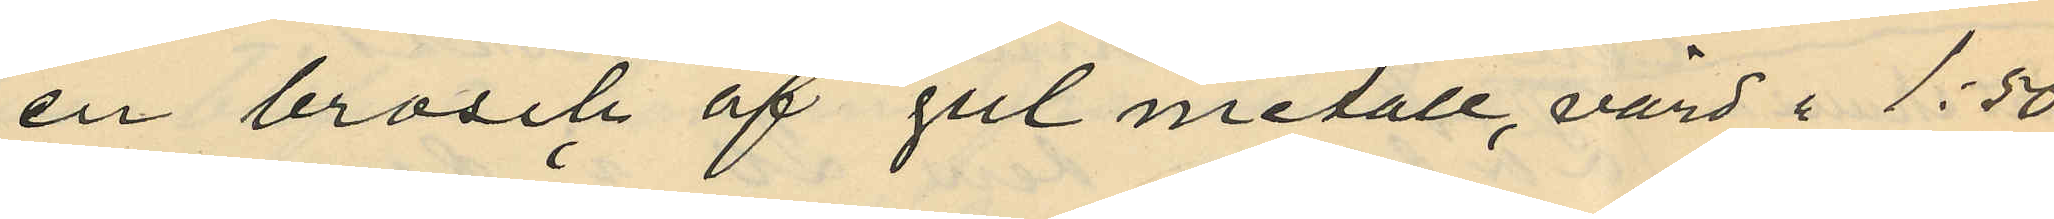en brosch af gul metall, värd i 1:50
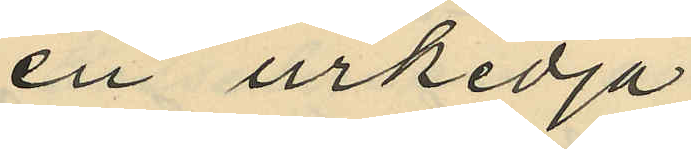en urkedja
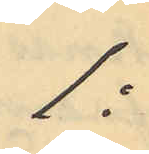1:
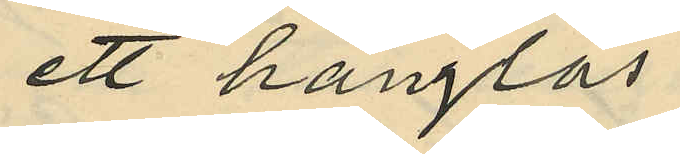ett hänglås
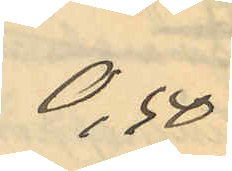0,50
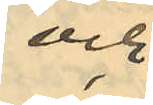och
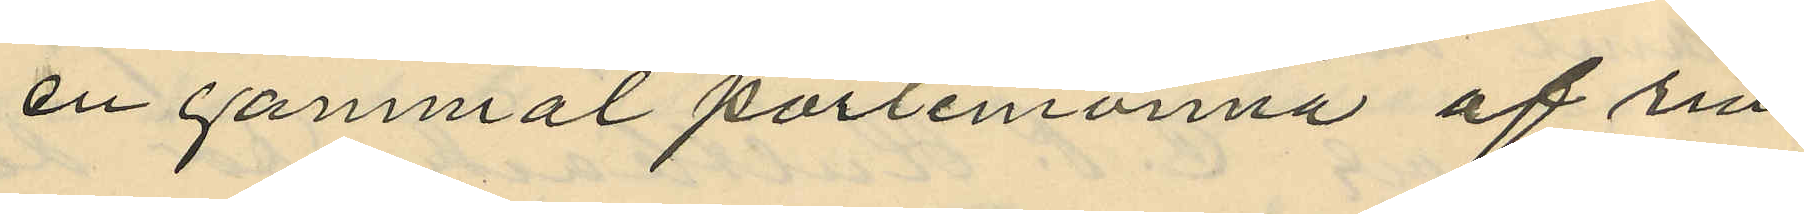en gammal portmonnä af rin¬
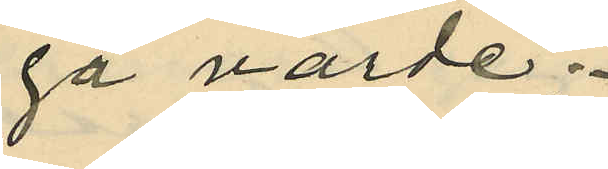ga värde;
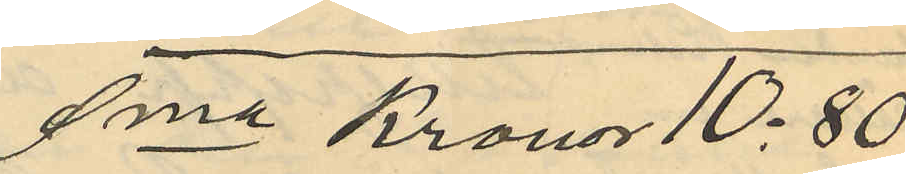Sma Kronor 10:80
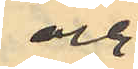och
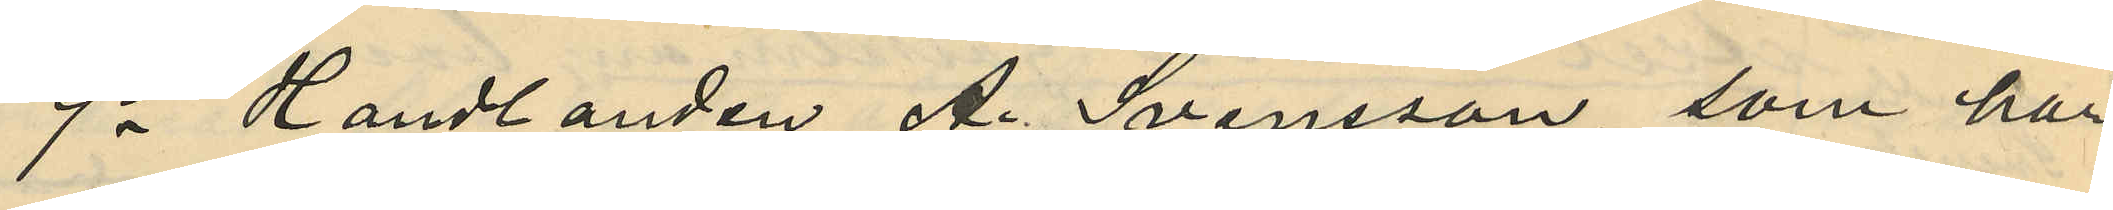9o Handlanden A. Svensson, som har
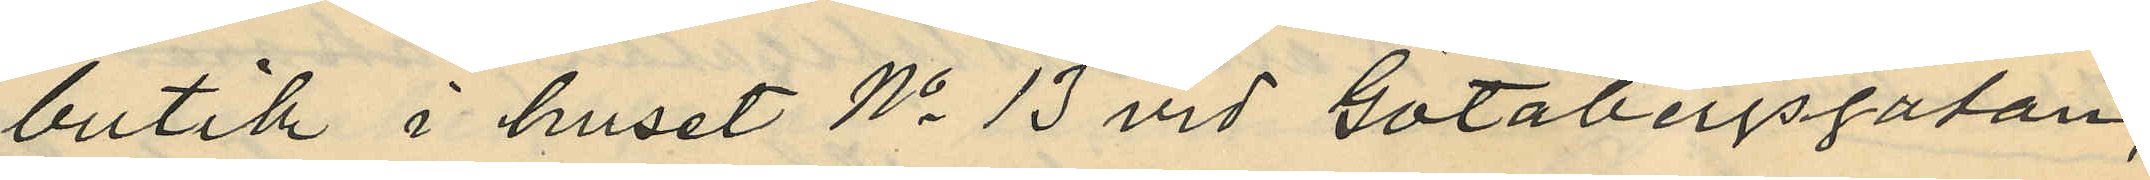butik i huset No 13 vid Götabergsgatan,
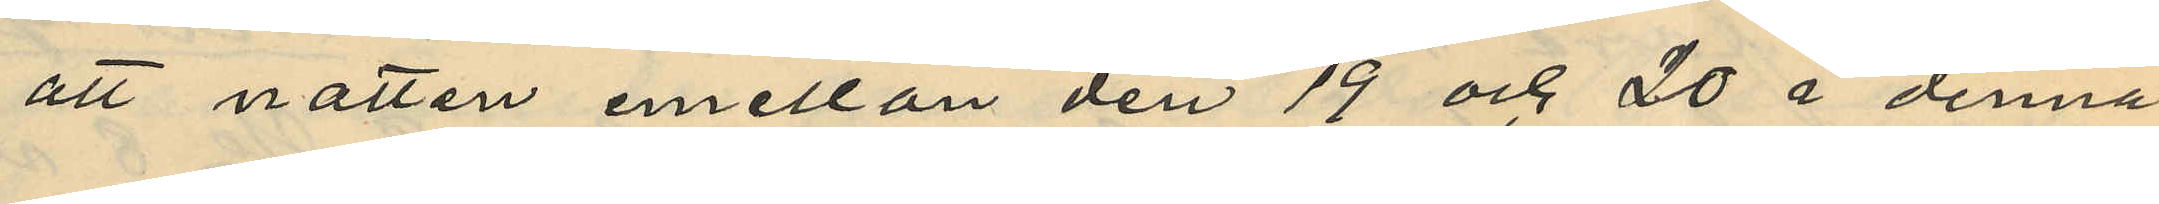att natten mellan den 19 och 20 i denna
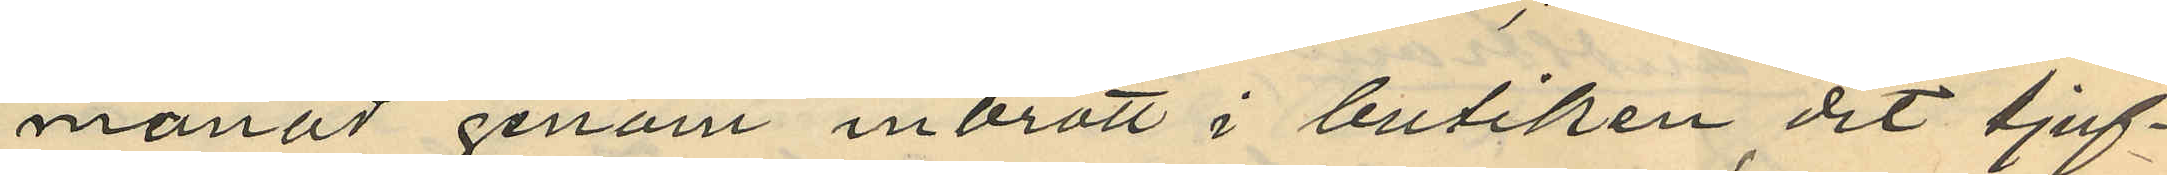månad genom inbrott i butiken dit tjuf¬
